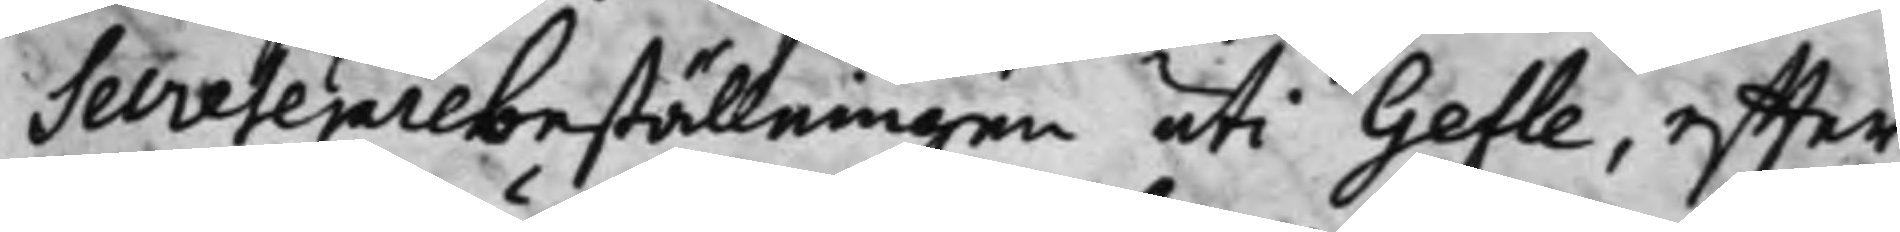Secreterarebeställningen uti Gefle, effter
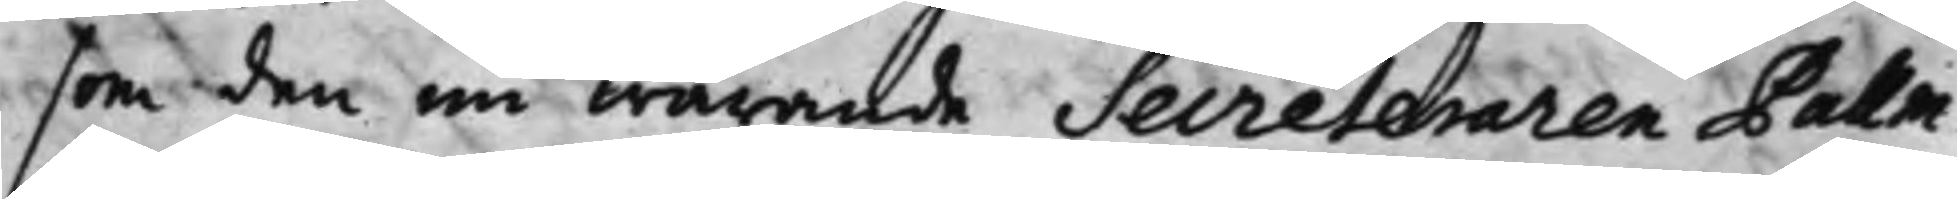som den nu warande Secreteraren Pallm¬
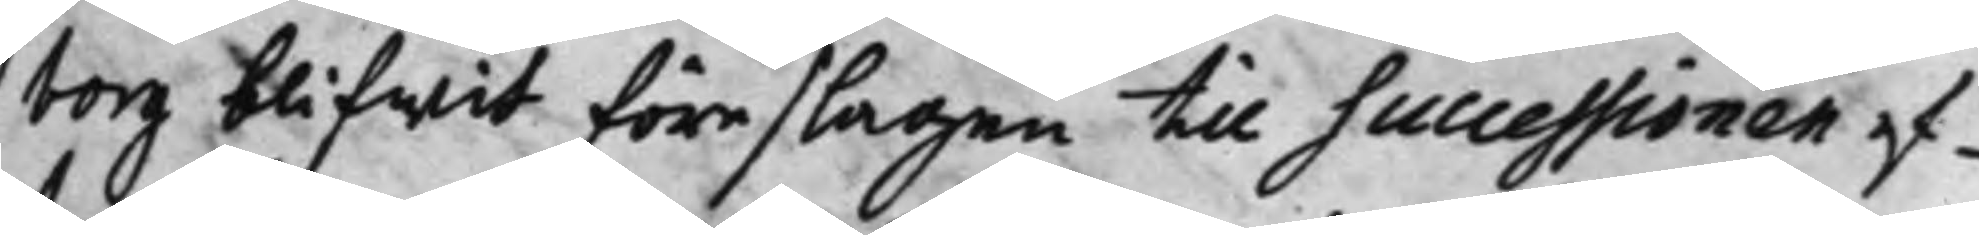borg blifwit föreslagen till Successionen ef¬
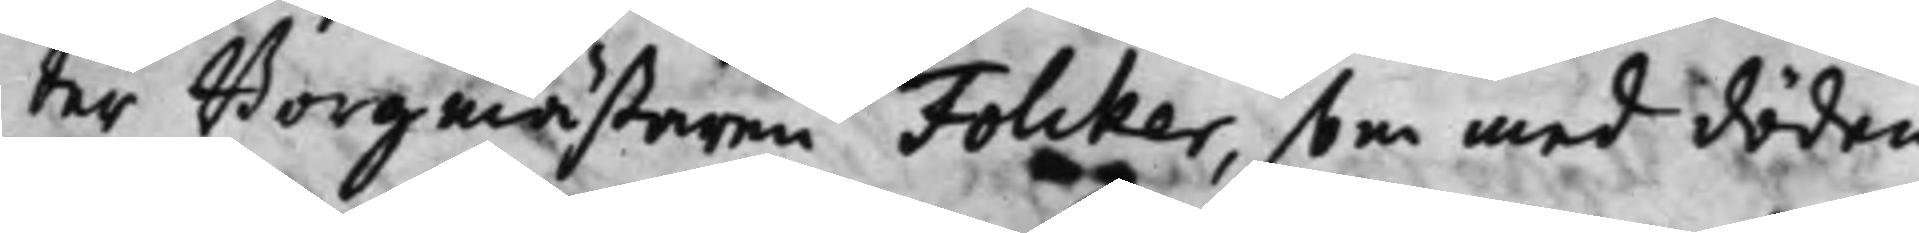ter Borgmästaren Folcker, som med döden
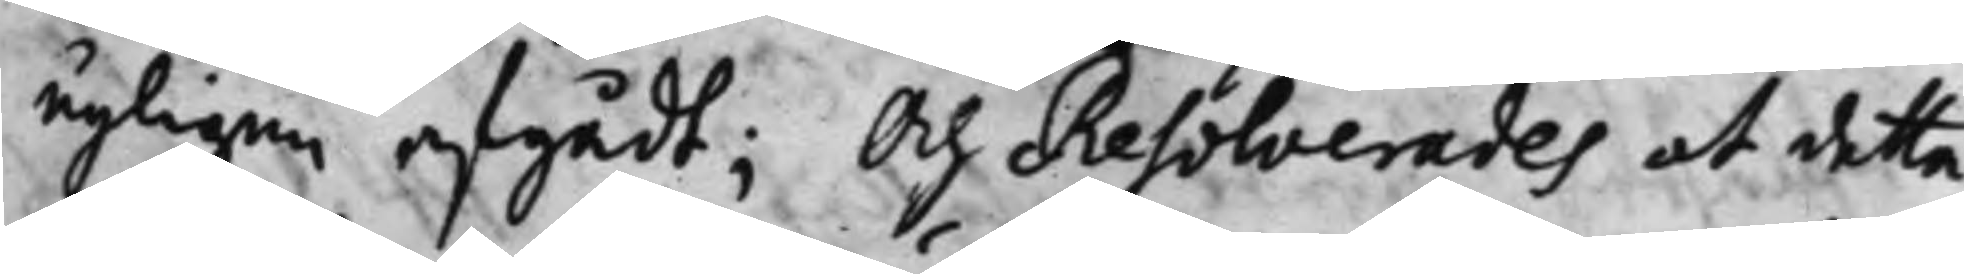nyligen afgådt; Och Resolverades at detta
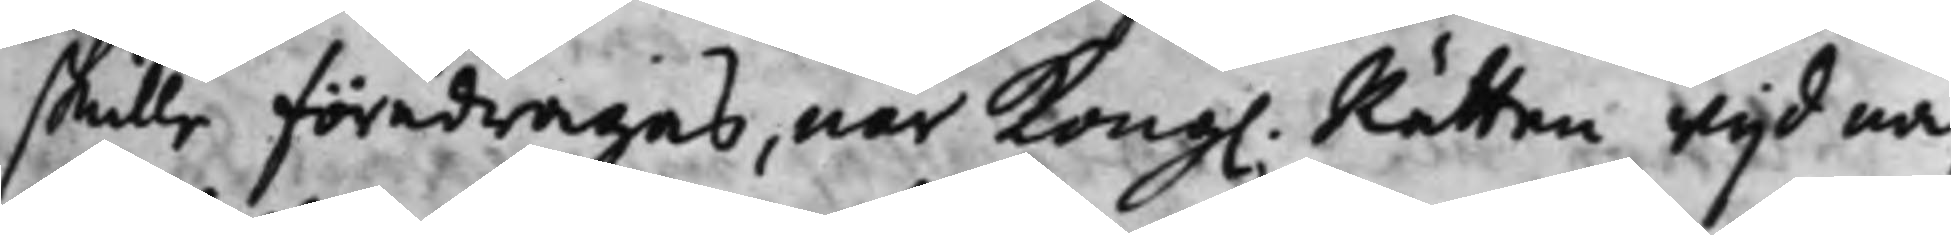skulle föredragas, när Kong. Rätten wijd nä¬
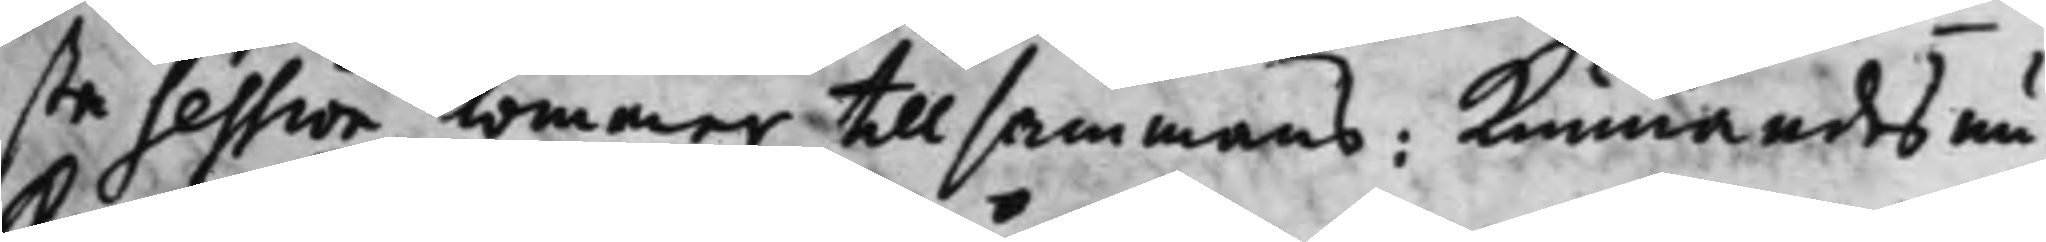sta Sssion kommer tillsammans: Kunnandes nu
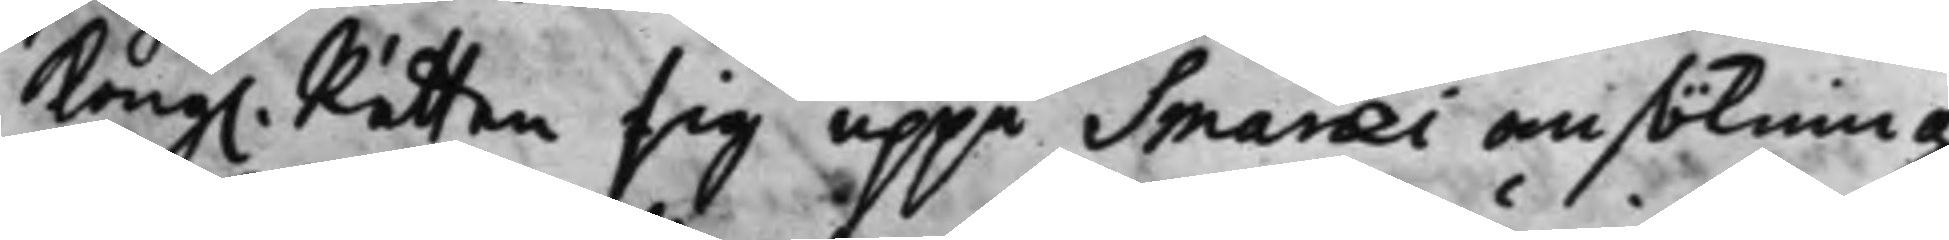Kong. Rätten sig uppå Smaraei ansökning
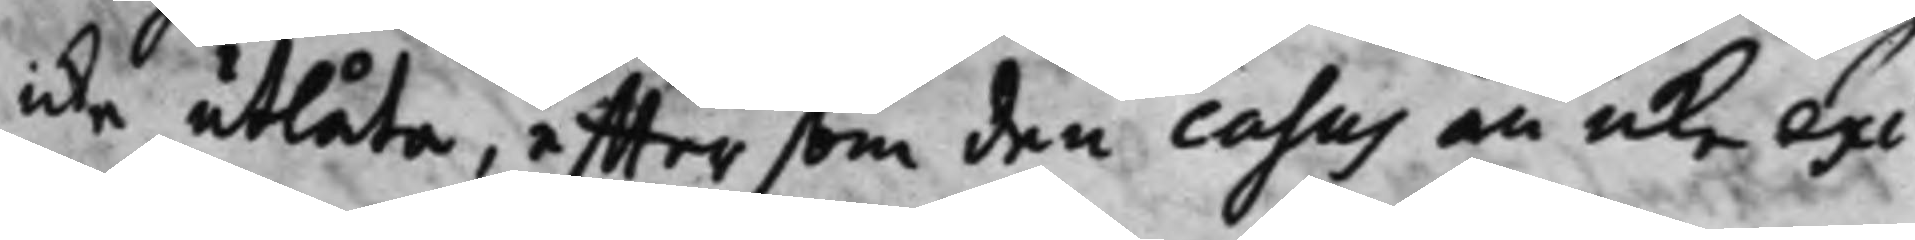icke utlåta, effter som den casus än icke exi¬
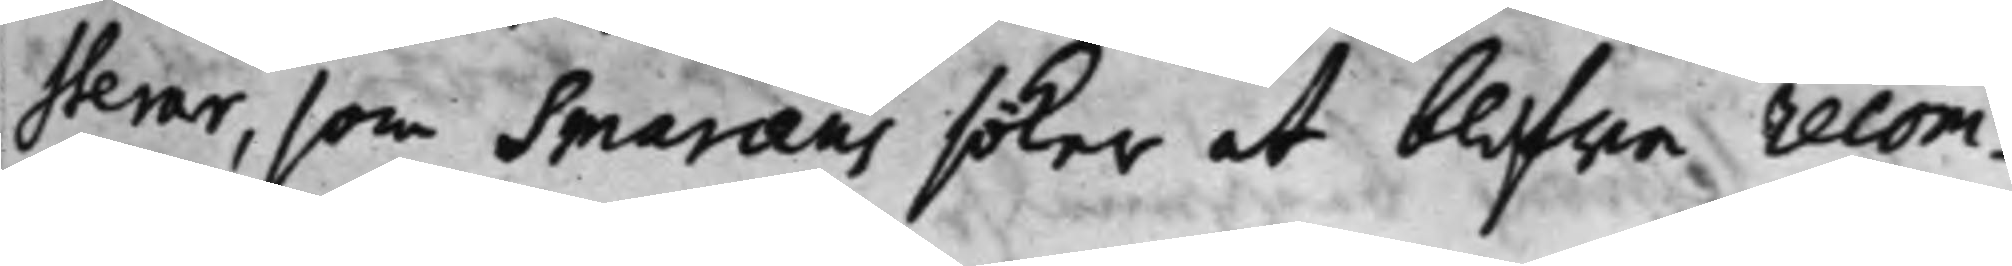sterar, som Smaraeus söker at blifwa recom¬
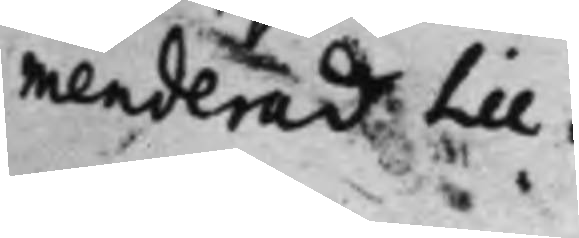menderad till.
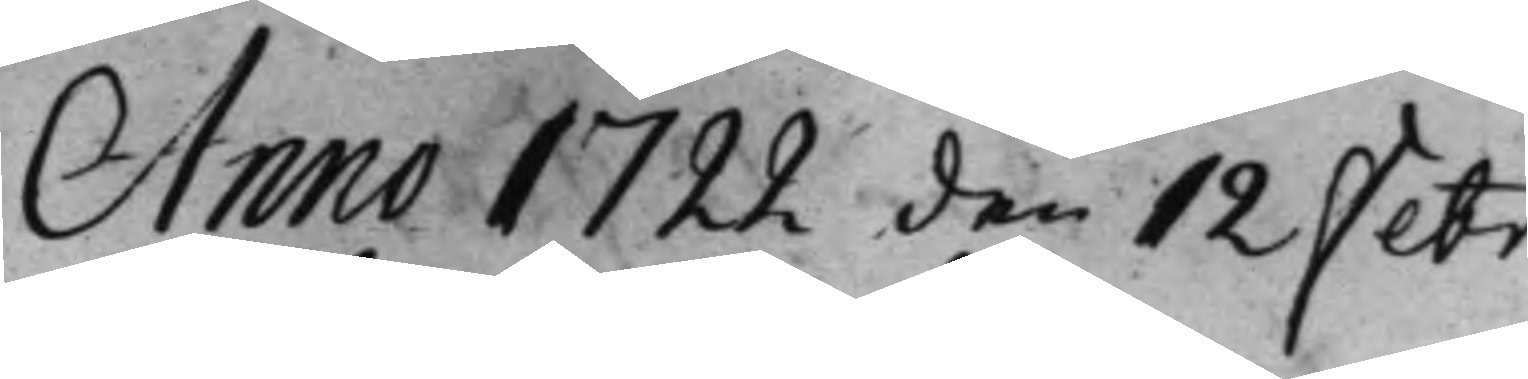Anno 1722 den 12 Febr
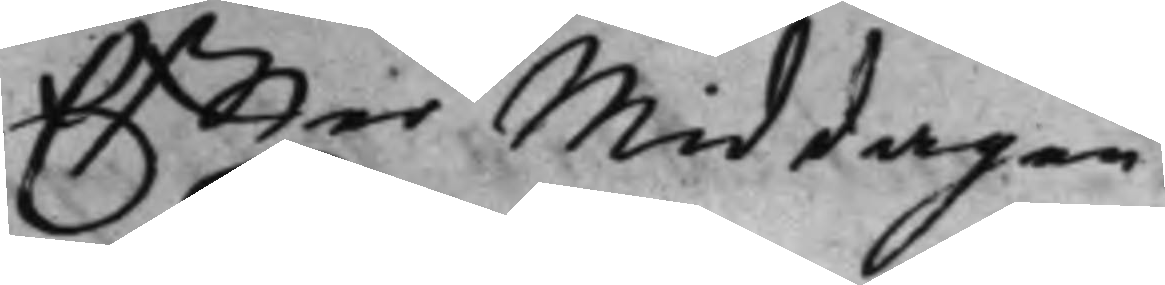Effter Middagen.
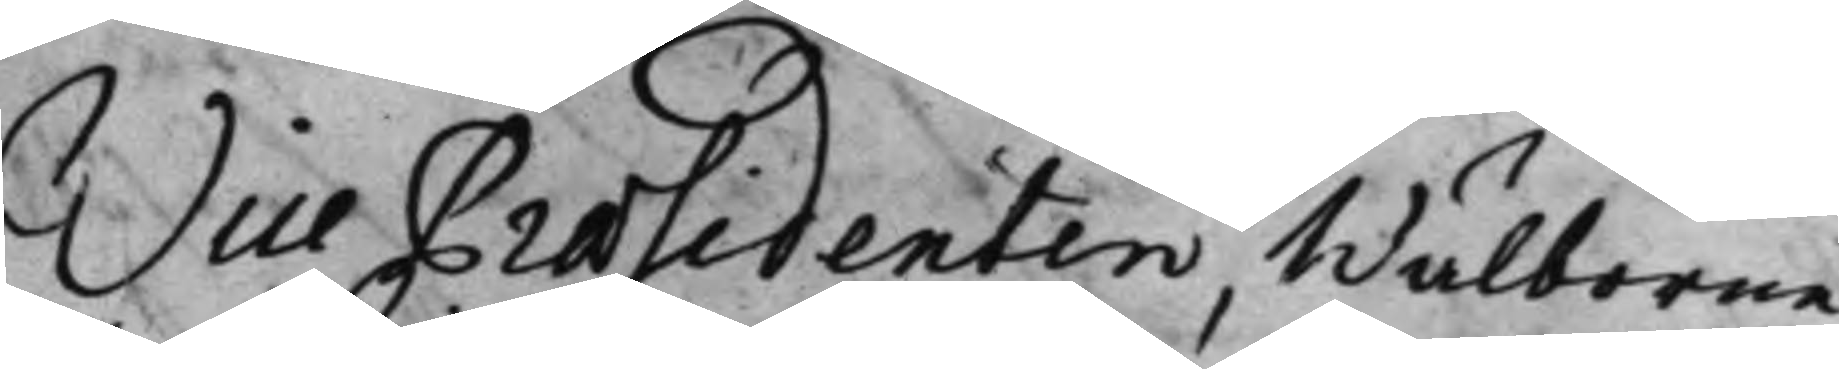Vice Praesidenten, Wälborne
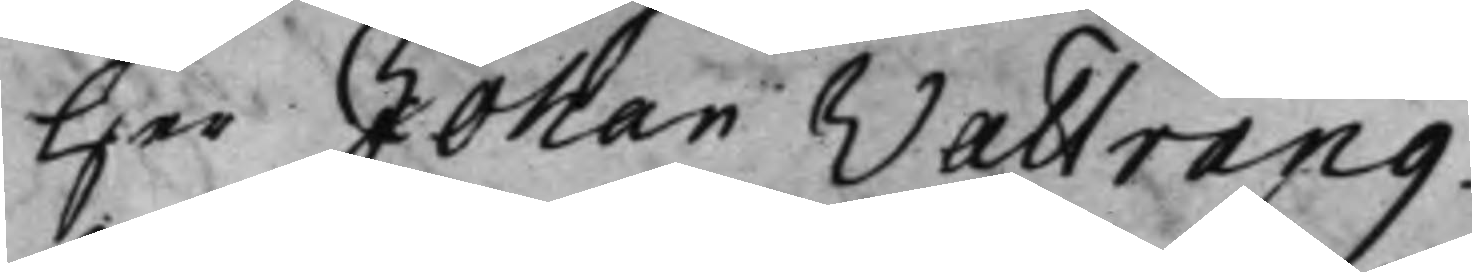Her Johan Wattrang.
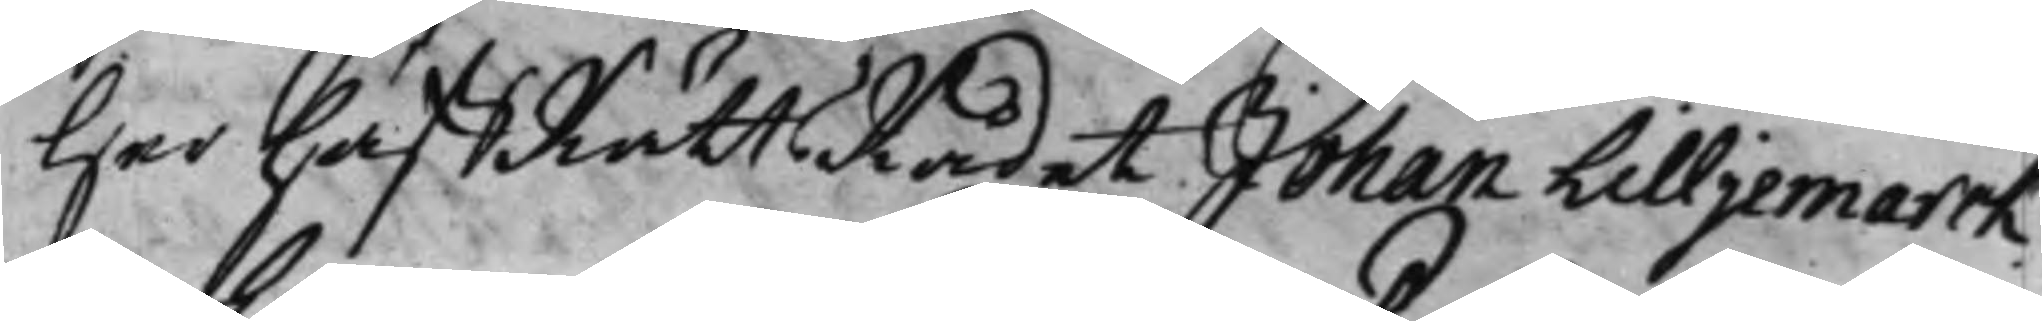Her håffRättsRådet Johan Lilljemarck.
